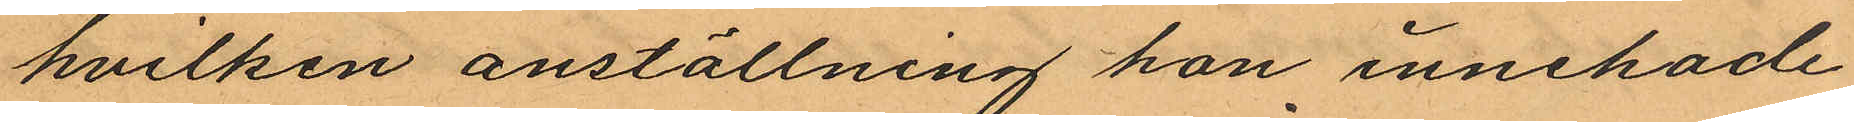hvilken anställning hon innehade
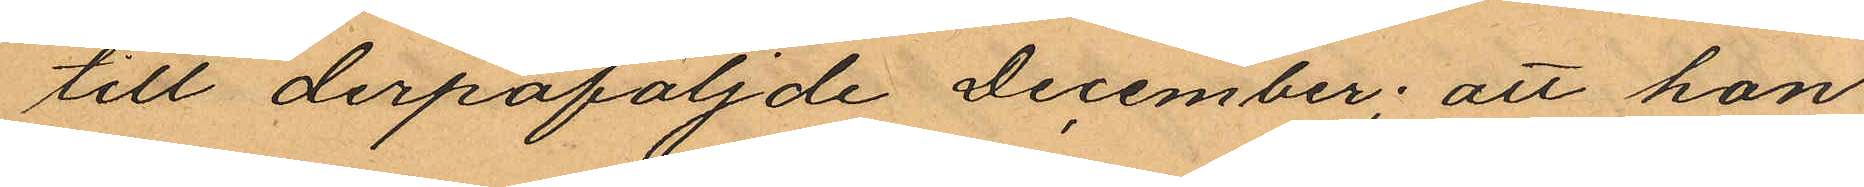till derpåföljnde December; att hon
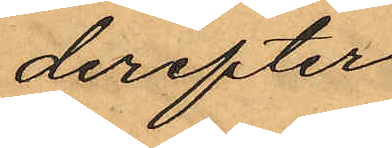derefter
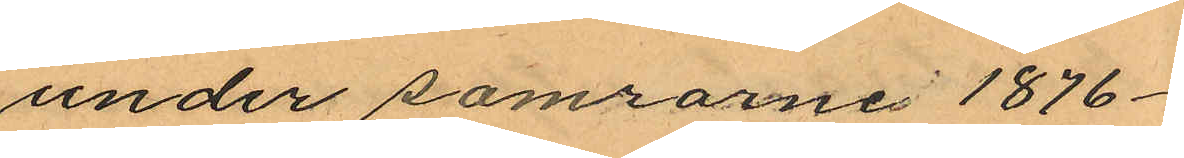under samrarne 1876 -
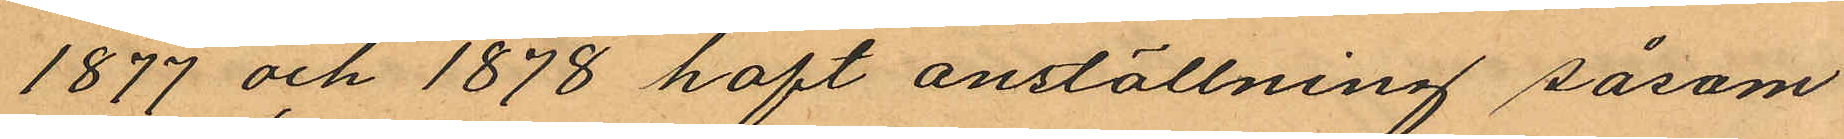1877 och 1878 haft anställning såsom
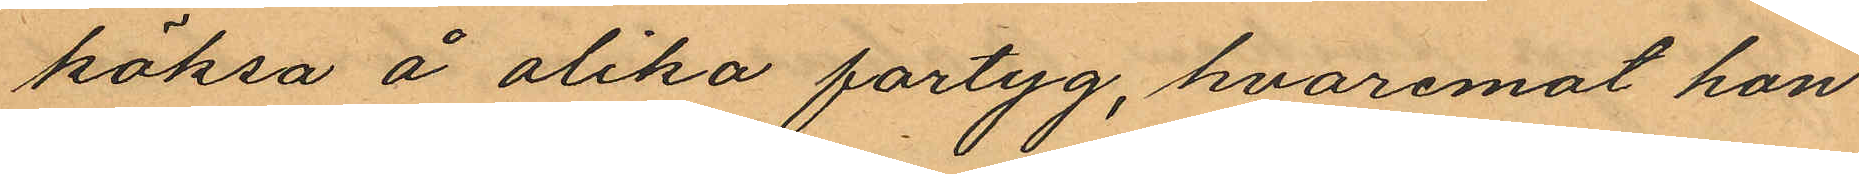köksa å olika fartyg, hvaremot hon
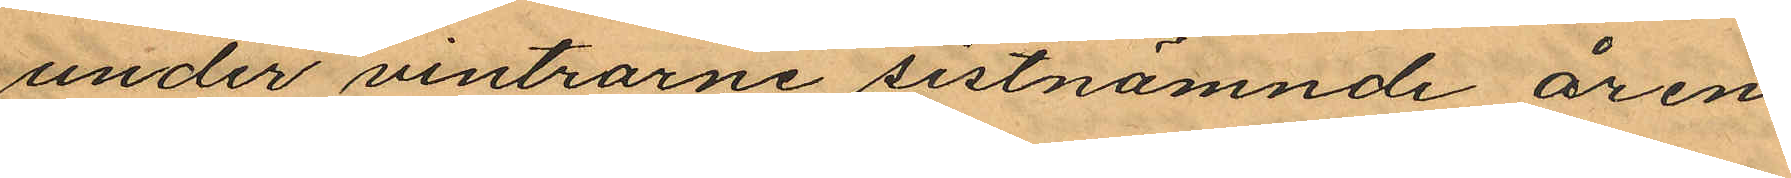under vintrarne sistnämnde åren
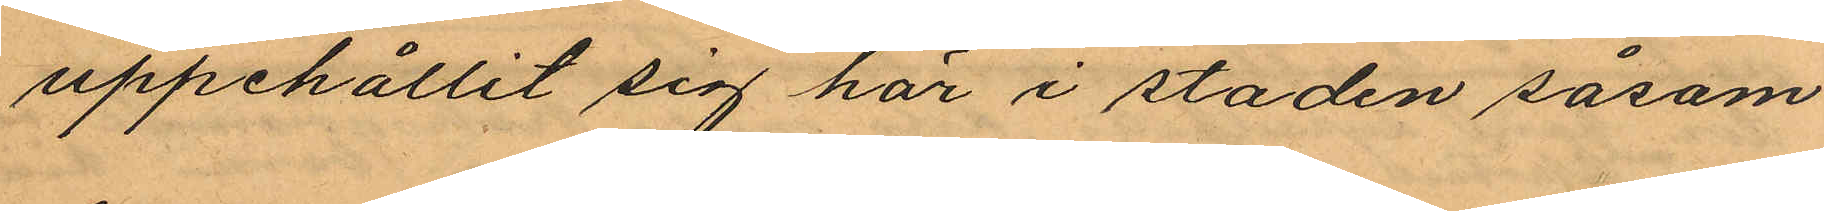uppehållit sig här i staden såsom
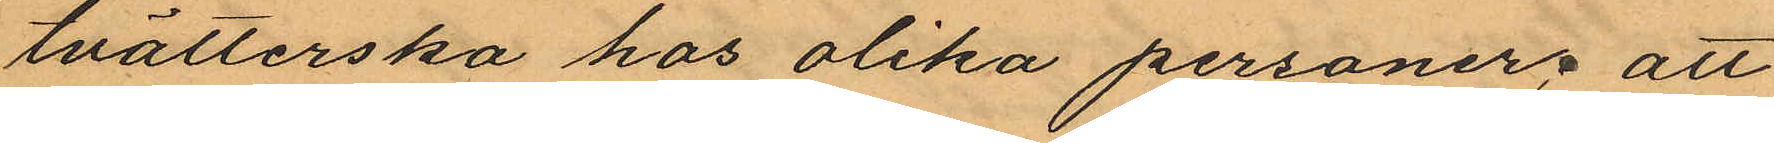tvätterska hos olika personer; att
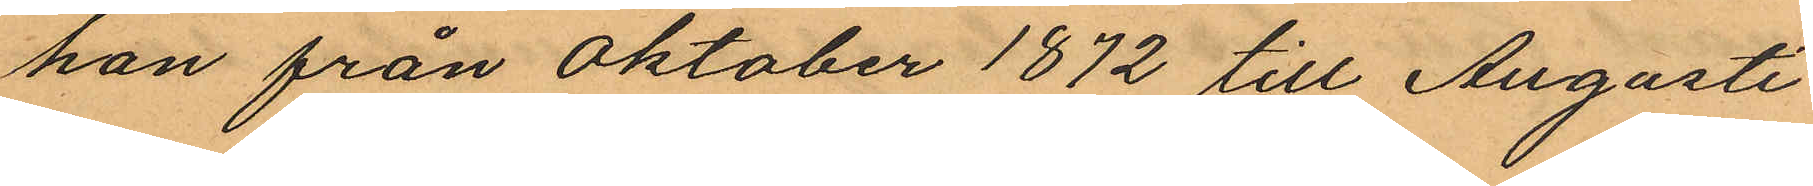hon från Oktober 1872 till Augusti
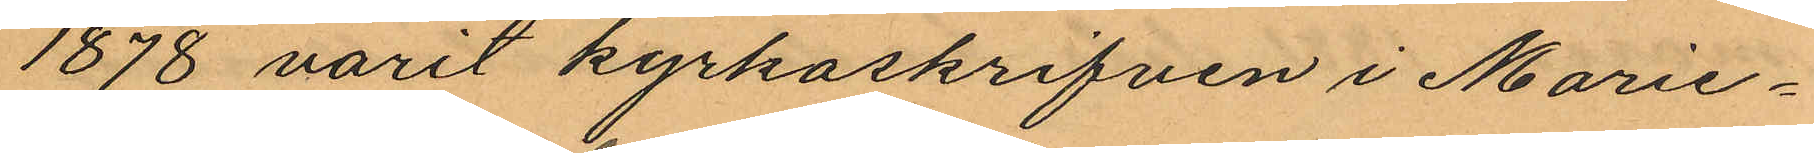1878 varit kyrkoskrifven i Marie¬
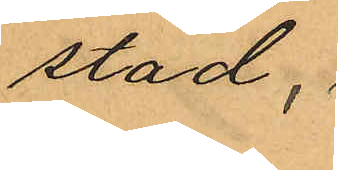stad,
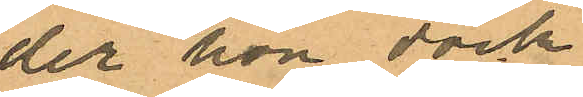der hon dock
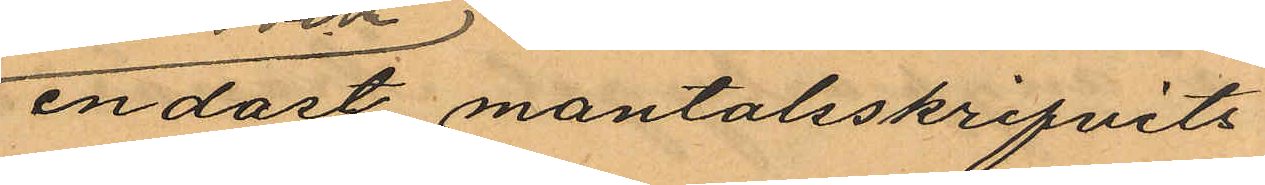endast mantalsskrifvits
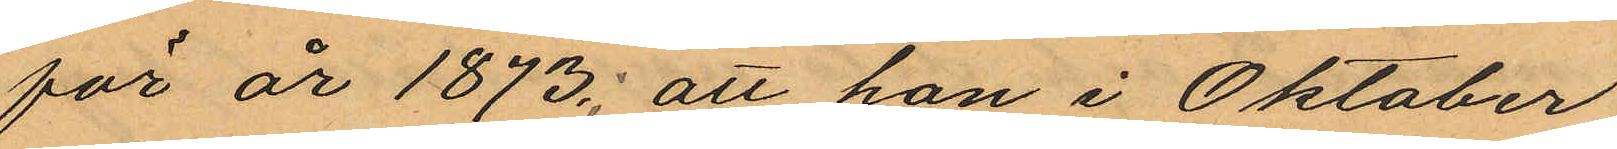för år 1873; att hon i Oktober
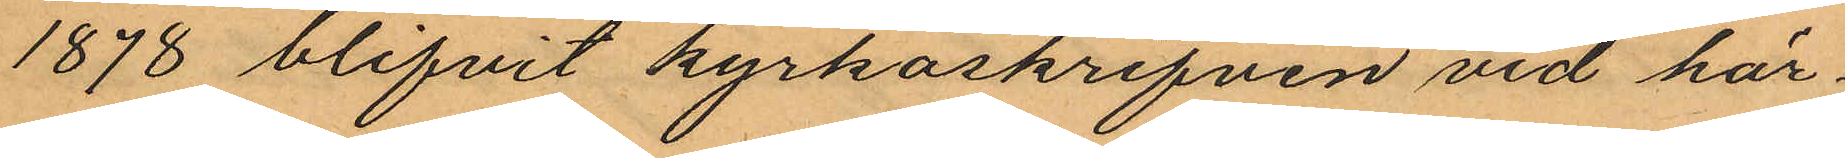1878 blifvit kyrkoskrifven vid här¬
